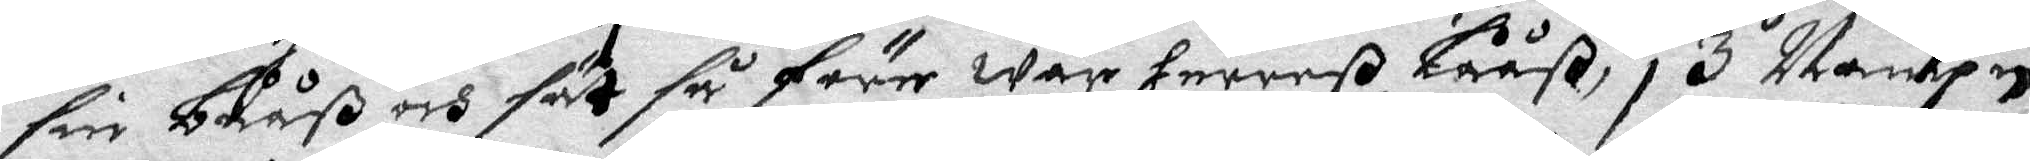sin bååß och fät så förr wår Herreß Lååß, 3 Nampn
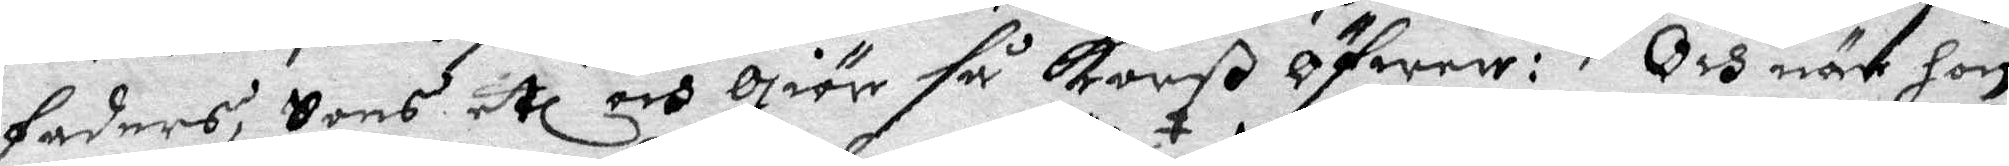faders, Sons etc och giör så Korß öfwer: Och när hon
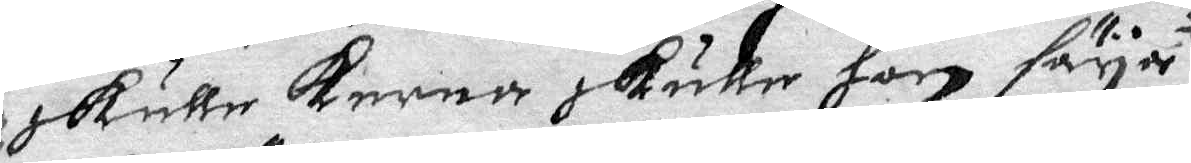skulle kerna skulle hon säya; 
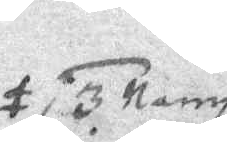3 Namp
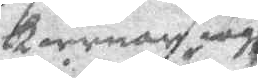kiernar iagh
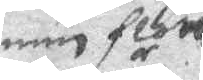min flän
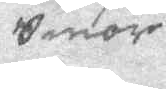Smör
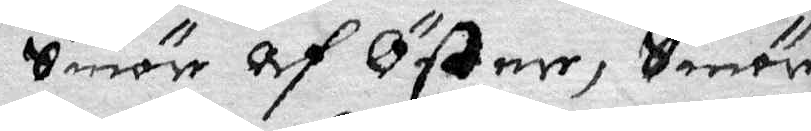Smör af Öster, Smör
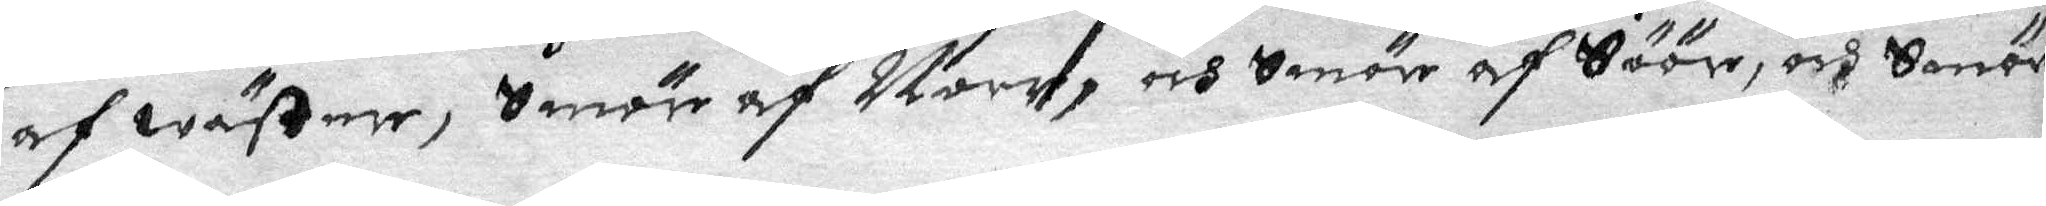af wäster, Smör af Norr, och Smör af Söör, och Smör
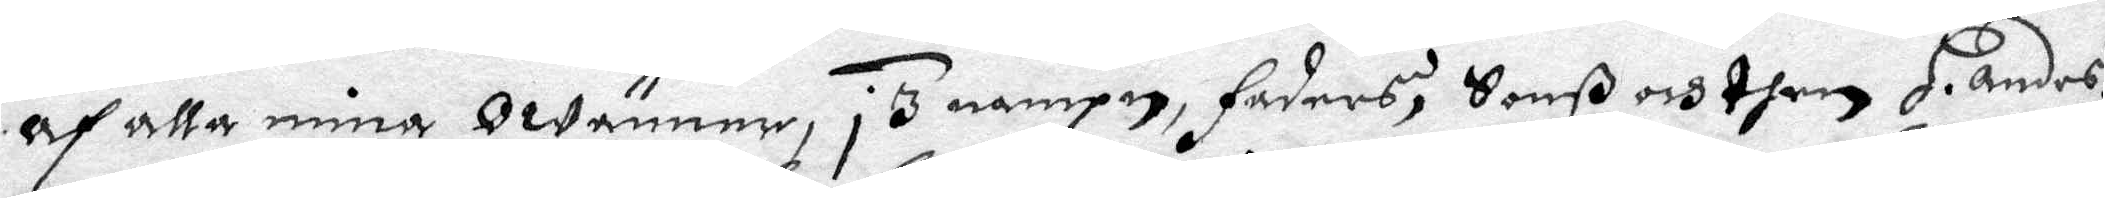af alla mina Owänner, i 3 nampn, Faders, Sonß och then H. andes:
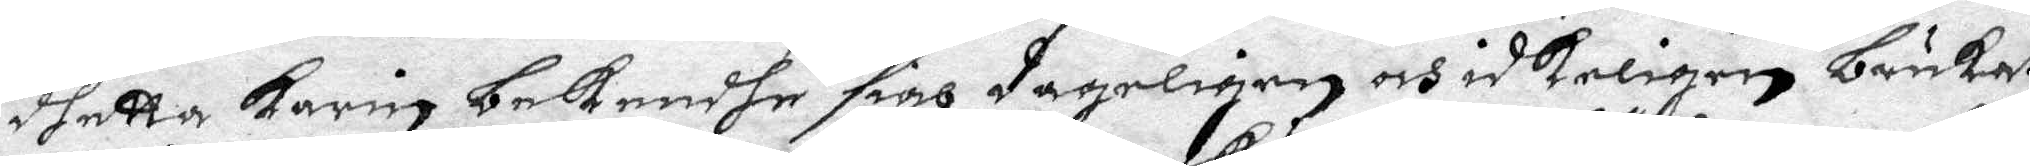dhetta Karin bekendhe sigh dageligen och idkeligen brukat
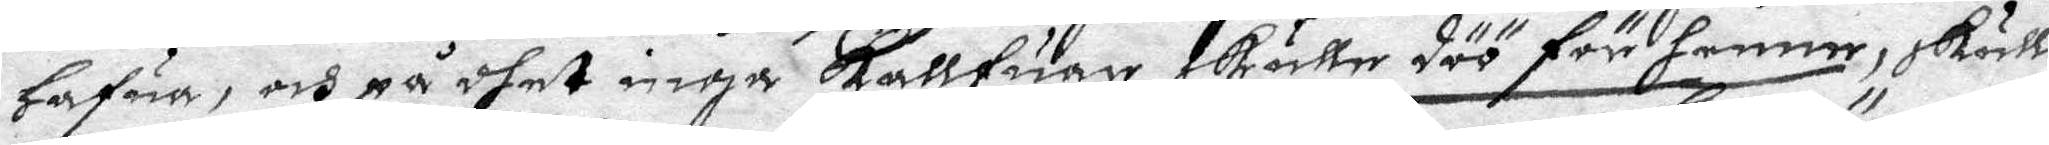Hafua, och på dhet inga Kallfuar skulle döö för henne, skulle
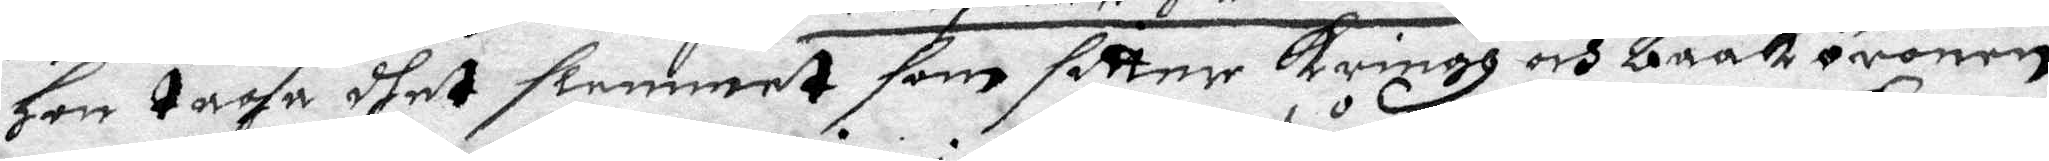hon taga dhet slemmet som sitter Kringh och baak öronen
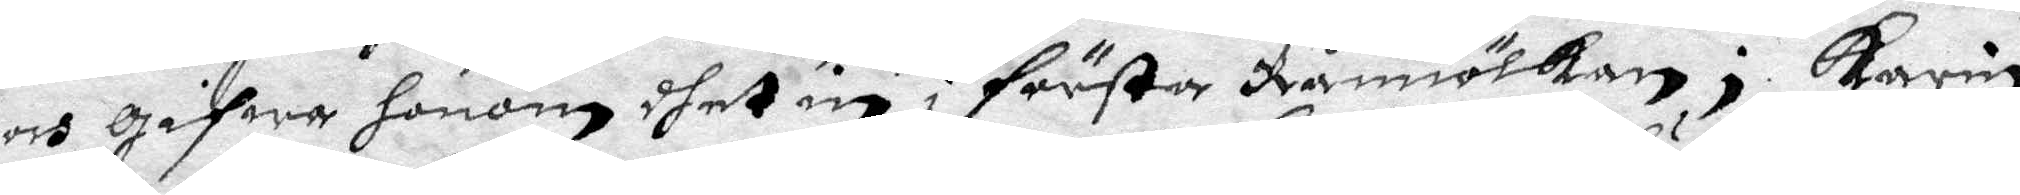och gifwa honom dhet in i första Råmiölken; Karin
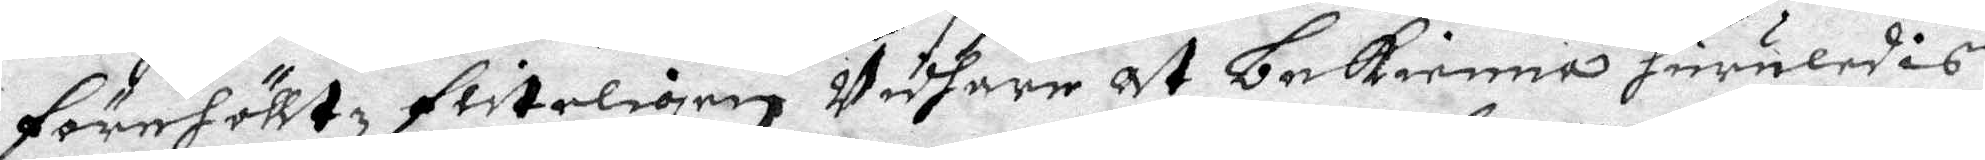förehölltz fliteligen Widhare at bekienna huruledis
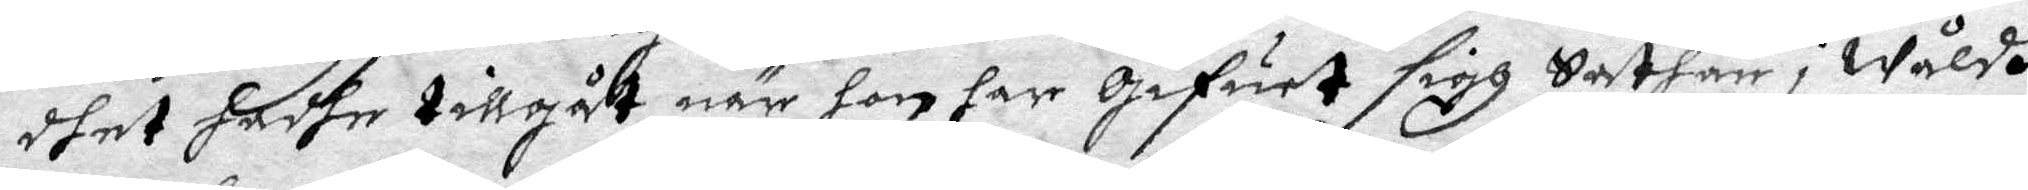dhet hadhe tillgåt när hon har gifuet sigh Sathan i Wåldh
